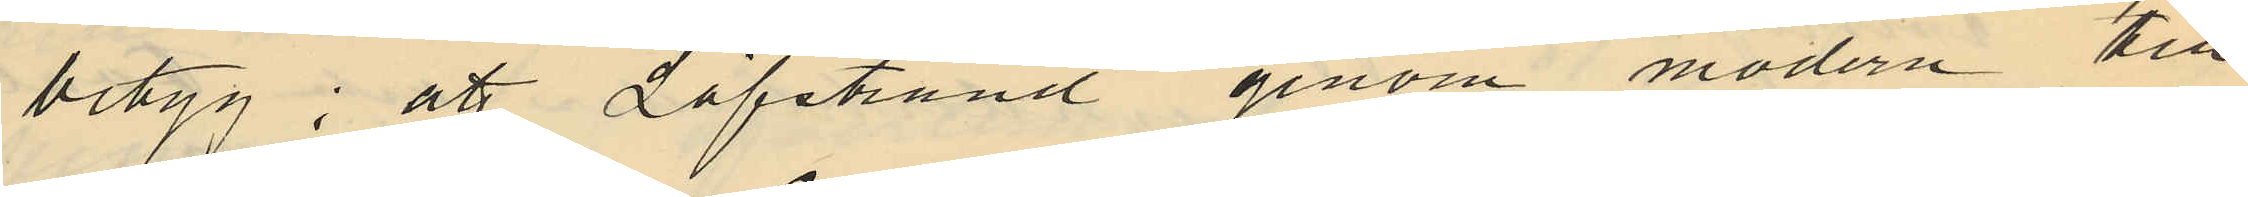betyg; att Löfstrand genom modern till
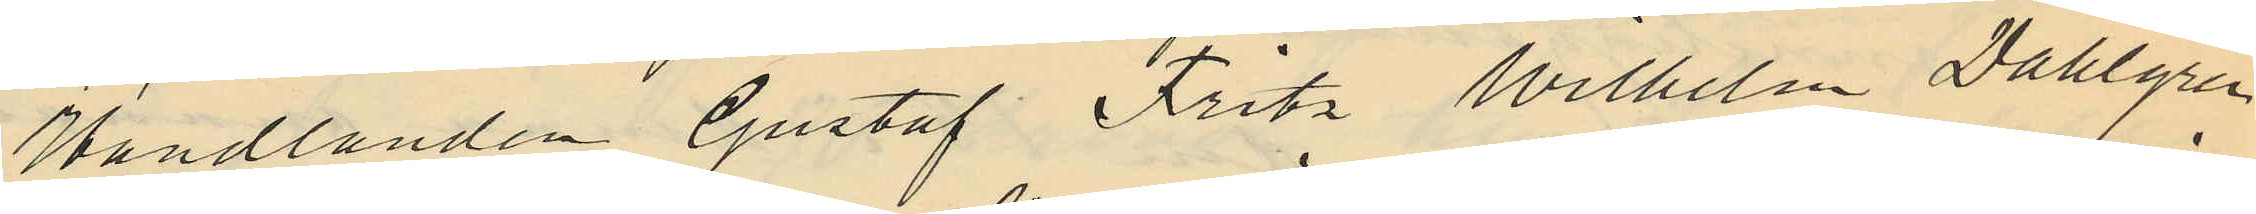Handlanden Gustaf Fritz Wilhelm Dahlgren
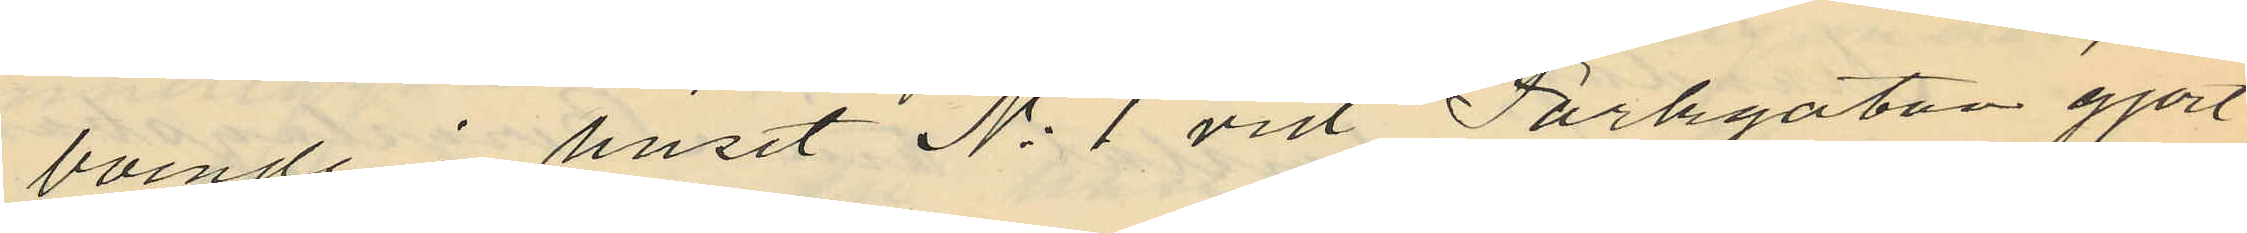boende i huset No 1 vid Parkgatan gjort
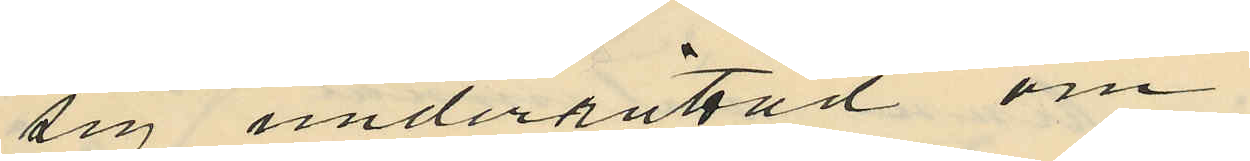sig underrättad om
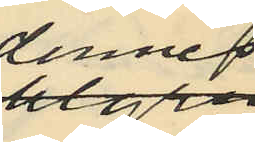dennes
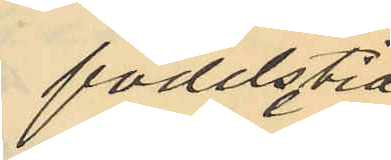födelstid,
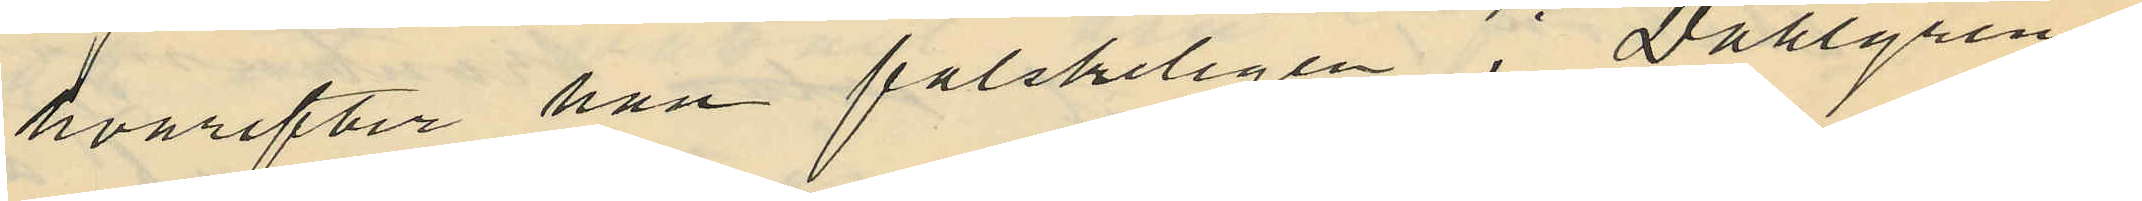hvarefter han falskeligen i Dahlgrens
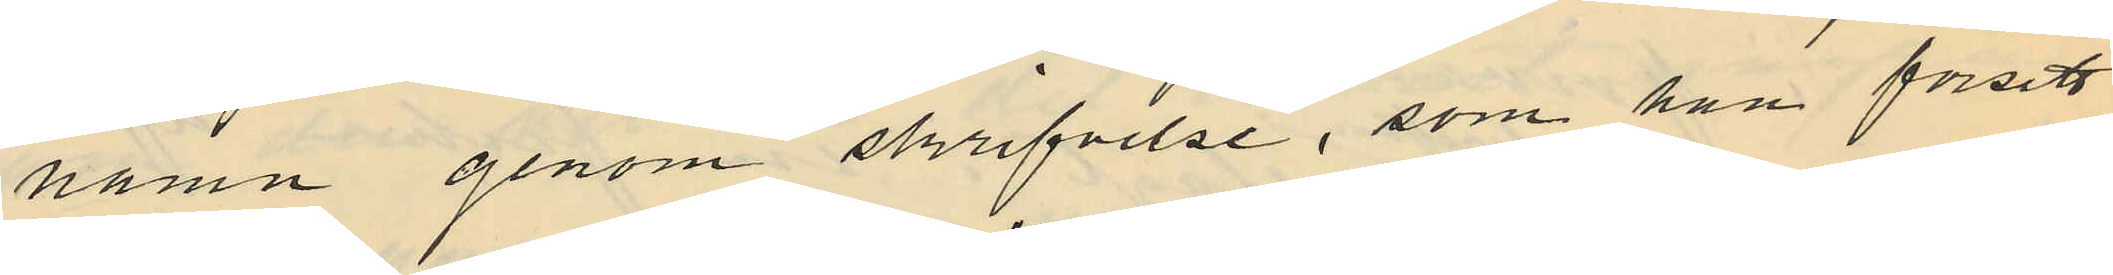namn genom skrifvelse, som han försett
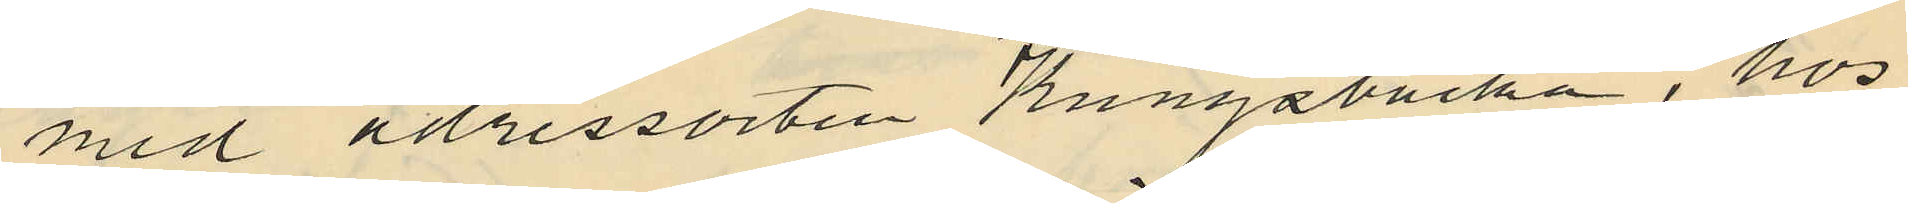med adressorten Kungsbacka, hos
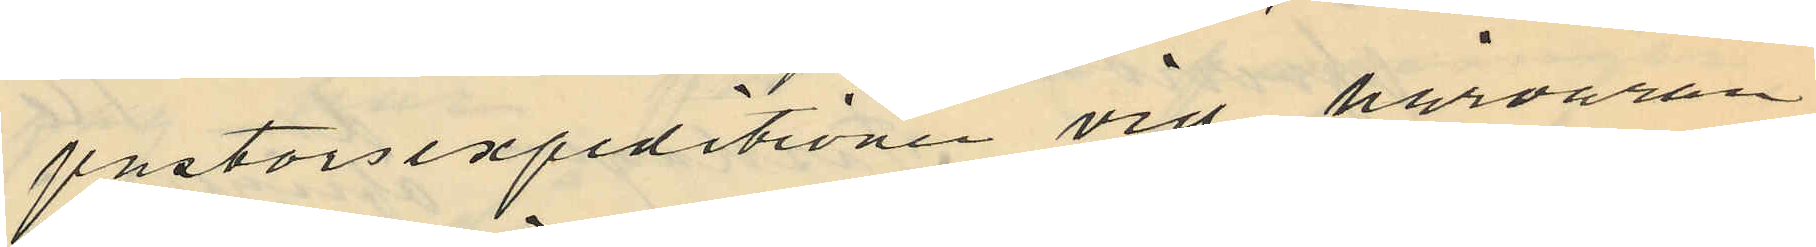pastorsexpeditionen vid härvaran
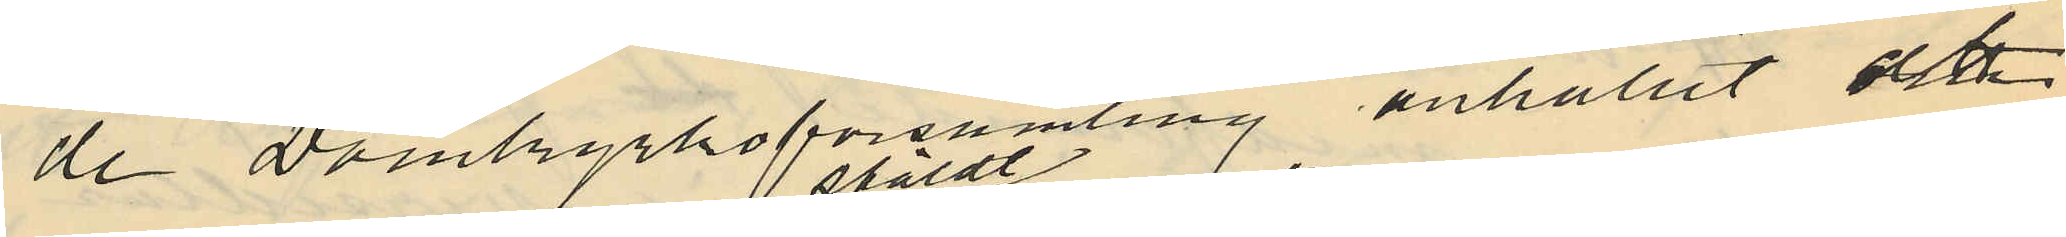de Domkyrkoförsamling anhållit och
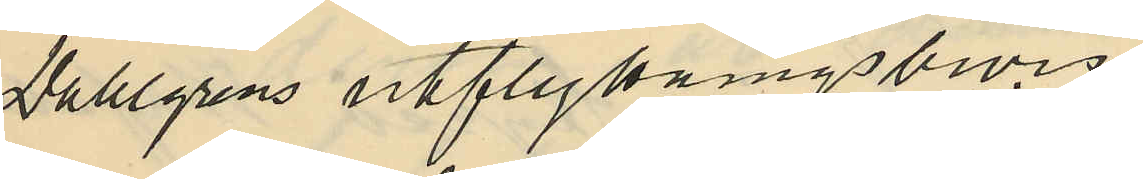Dahlgrens utflyttningsbevis
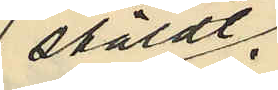stäldt.
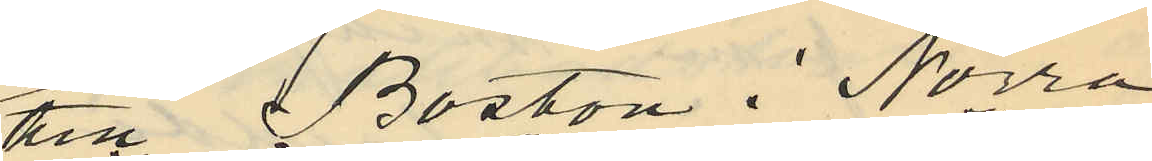till Boston i Norra
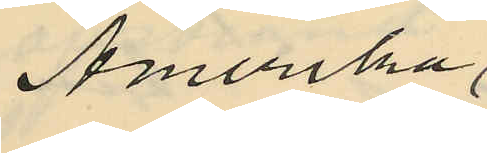Amerika
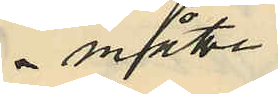 måste
